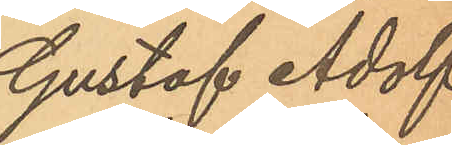Gustaf Adolf
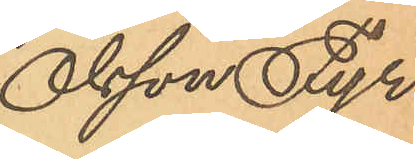Olsson Fyr.
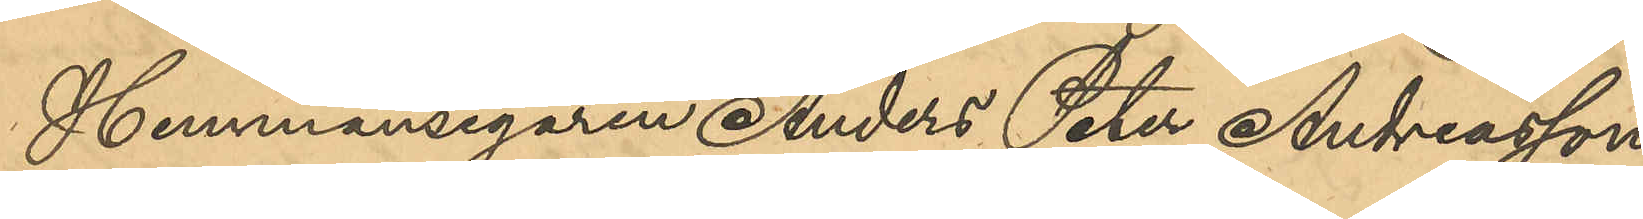Hemmansegaren Anders Peter Andreasson
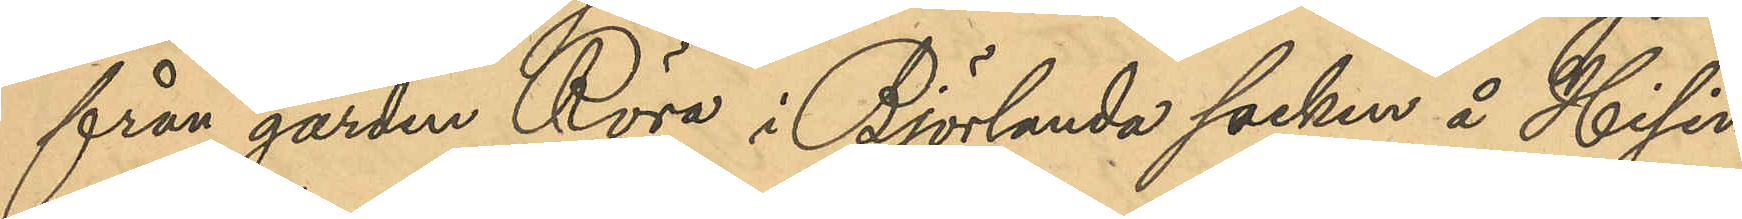från gården Röre i Björlanda socken å Hisin¬
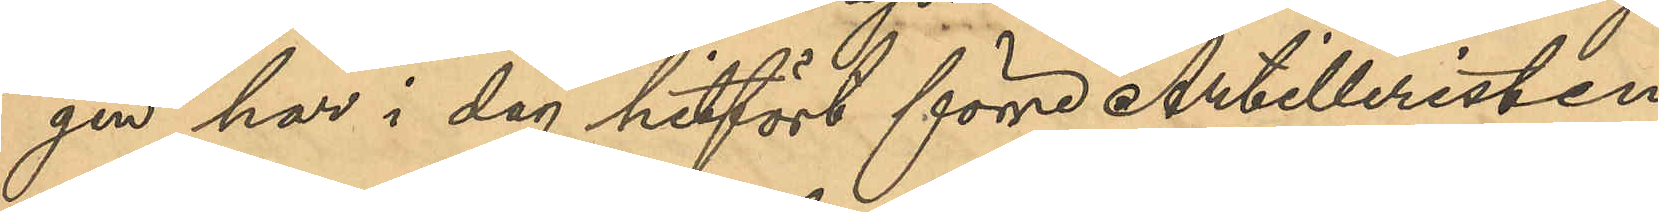gen har i dag hitfört förre Artilleristen
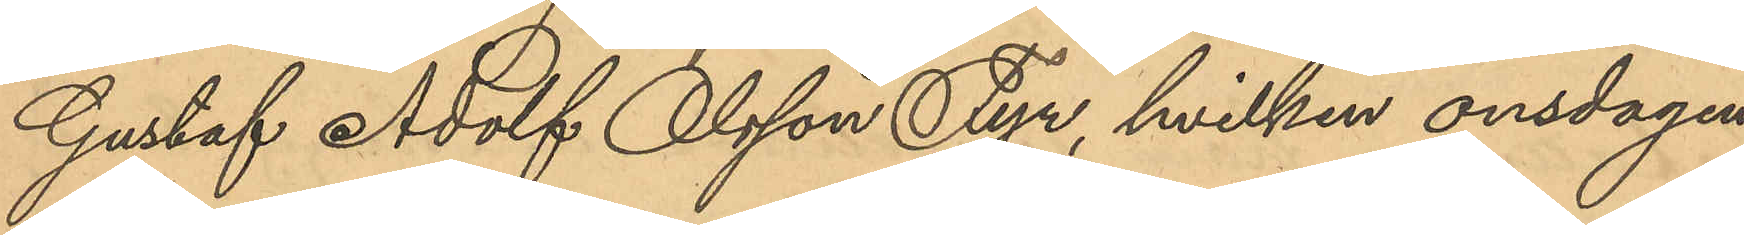Gustaf Adolf Olsson Fyr, hvilken onsdagen
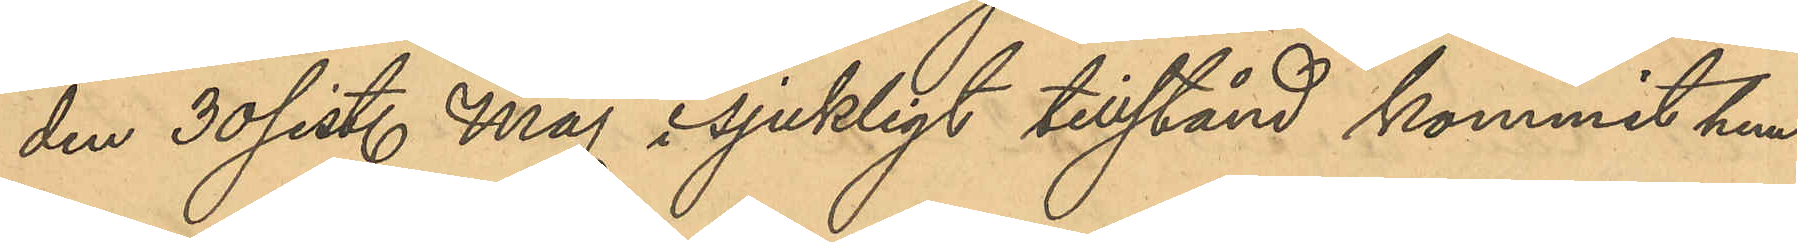den 30 sist. Maj i sjukligt tillstånd kommit hem
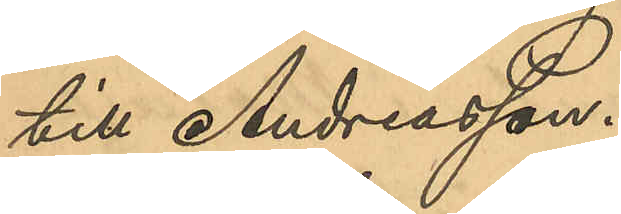till Andreasson.
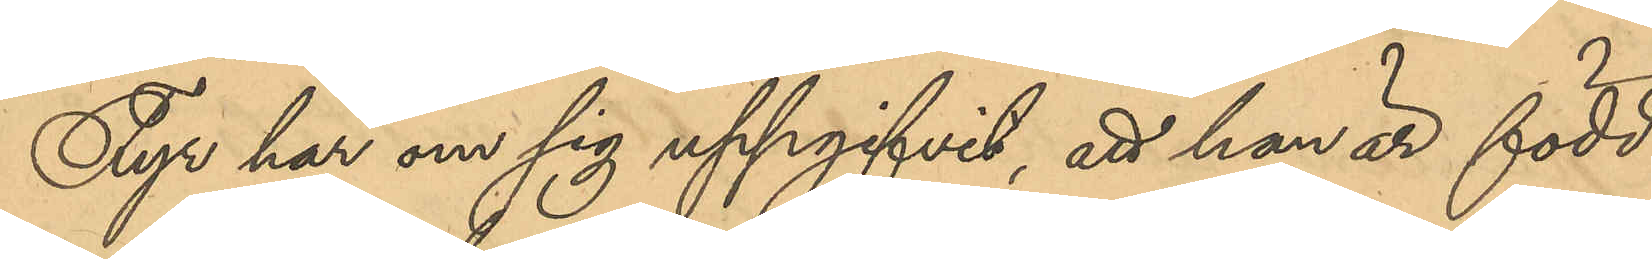Fyr har om sig uppgifvit, att han är född
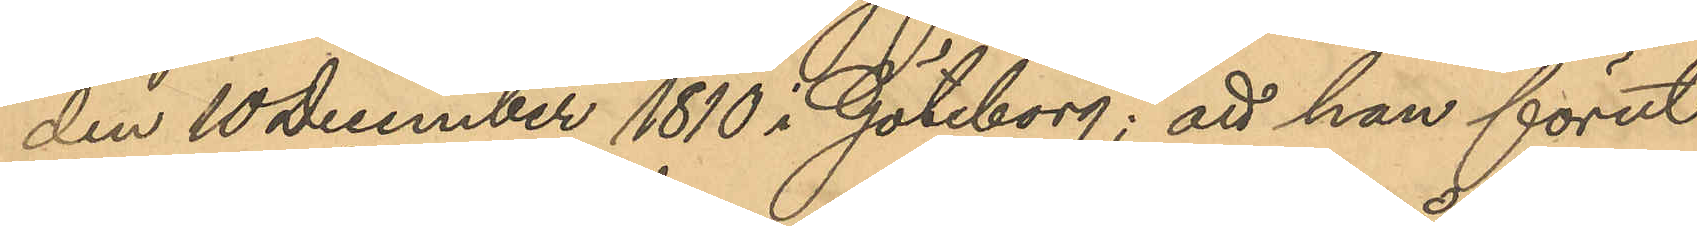den 10 december 1810 i Göteborg; att han förut
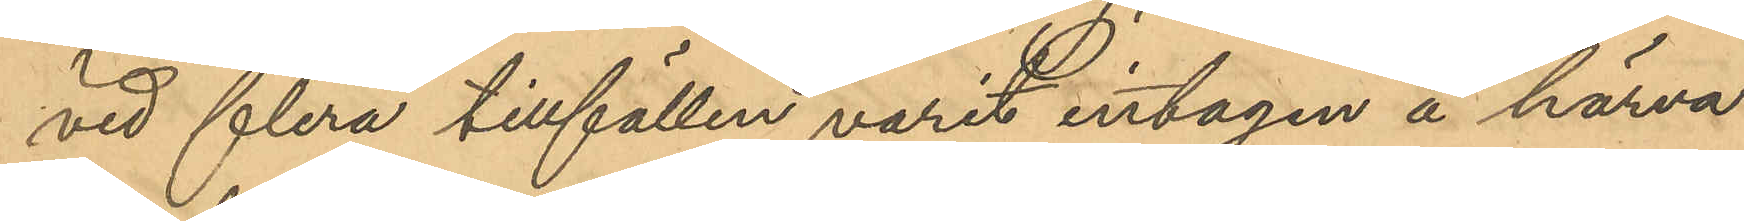vid flera tillfällen varit intagen å härva¬
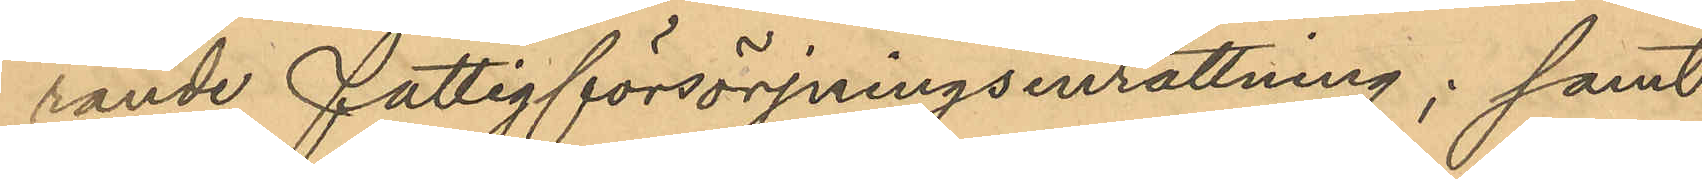rande fattigförsörjningsinrättning; samt
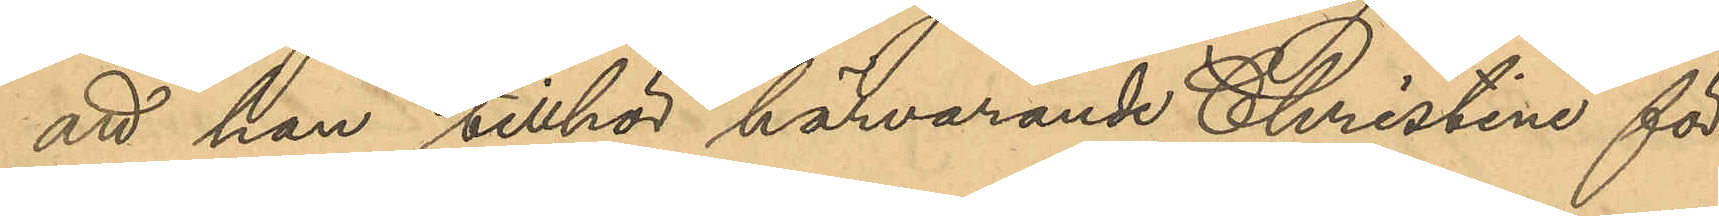att han tillhör härvarande Christine för¬
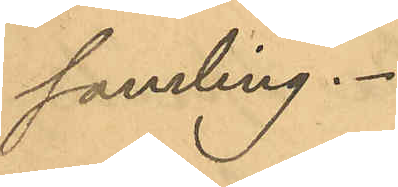samling.
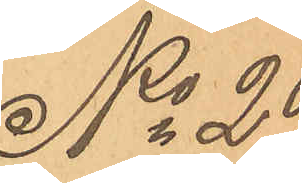No 29
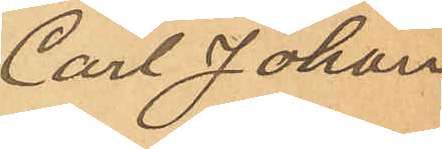Carl Johan
